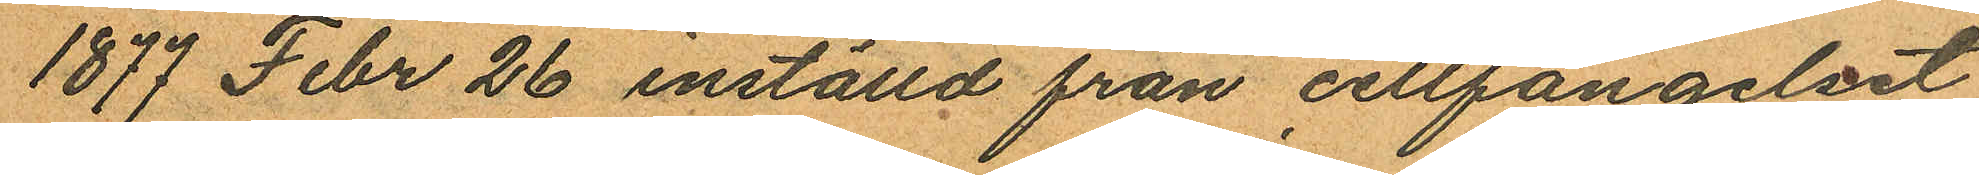1877 Febr 26 inställd från cellfängelset
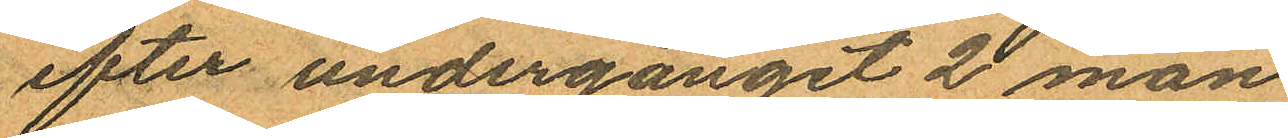efter undergånget 2 mån
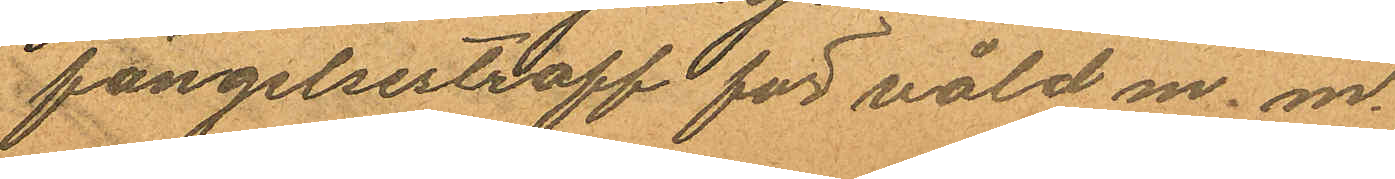fängelsestraff för våld m. m.
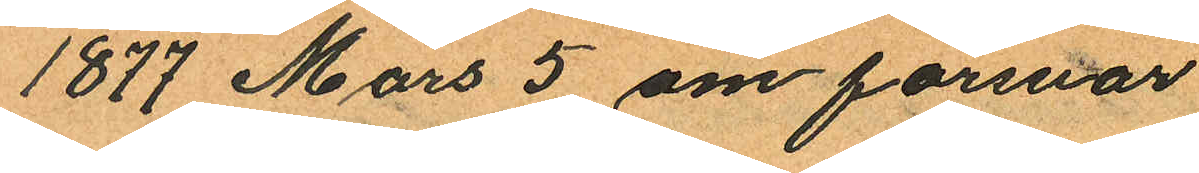1877 Mars 5 om försvar
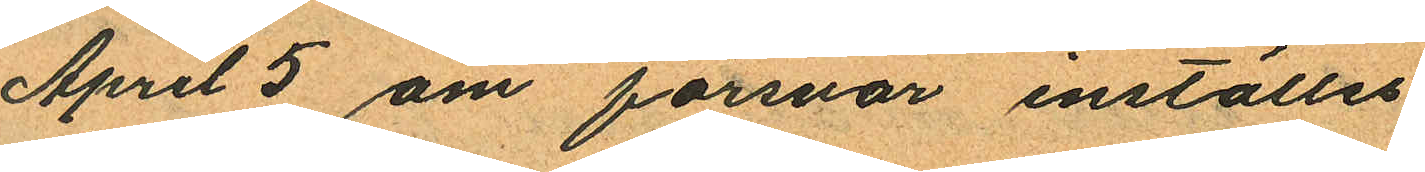April 8 om försvar inställes.
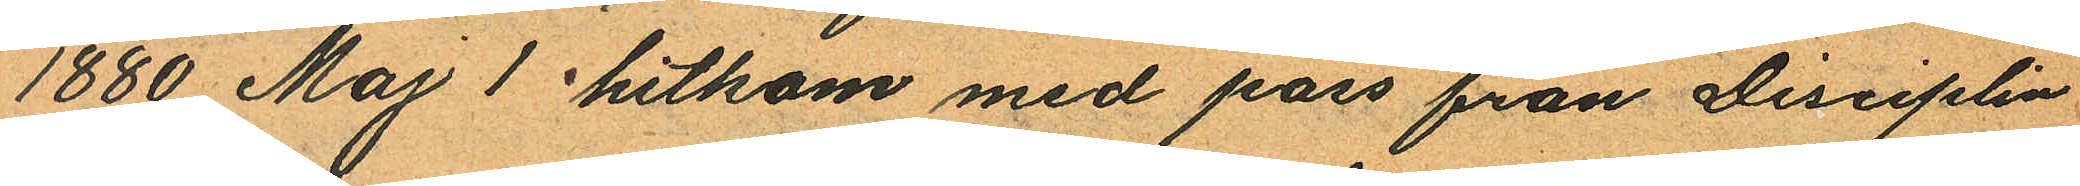1880 Maj 1 hitkom med pass från Disciplin
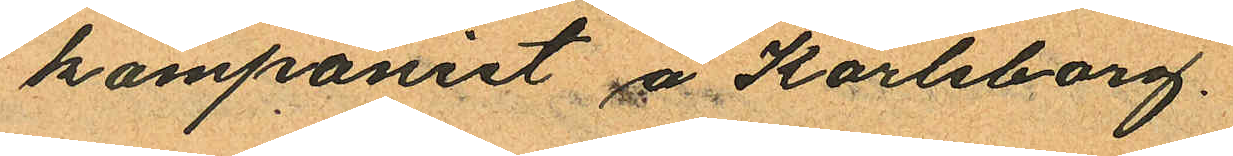kompaniet å Karlsborg.
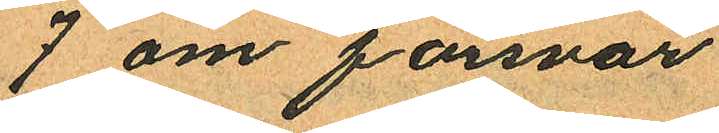7 om försvar
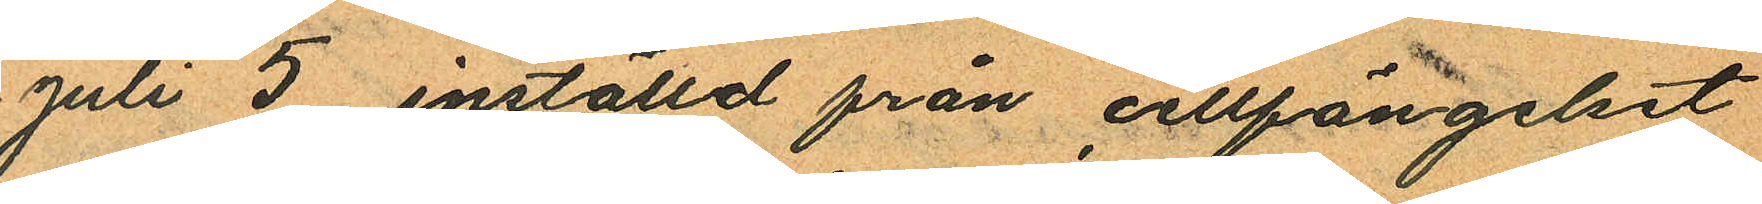Juli 5 inställd från cellfängelset
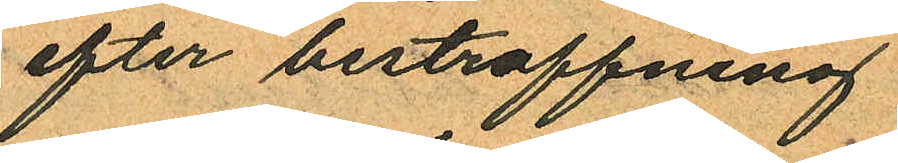efter bestraffning
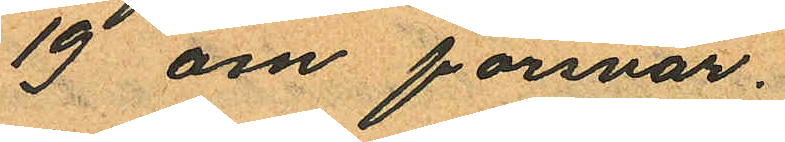19 om försvar.
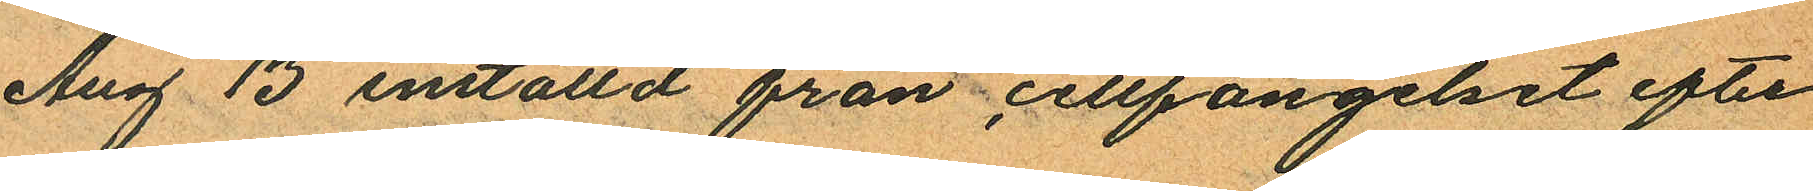Aug 13 inställd från cellfängelset efter
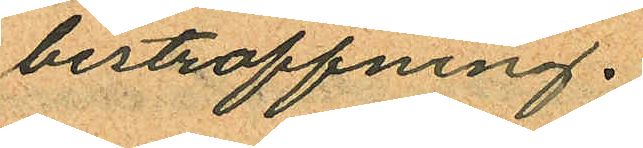bestraffning.
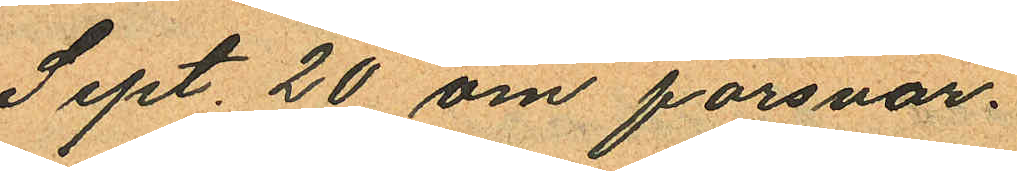Sept. 20 om försvar.
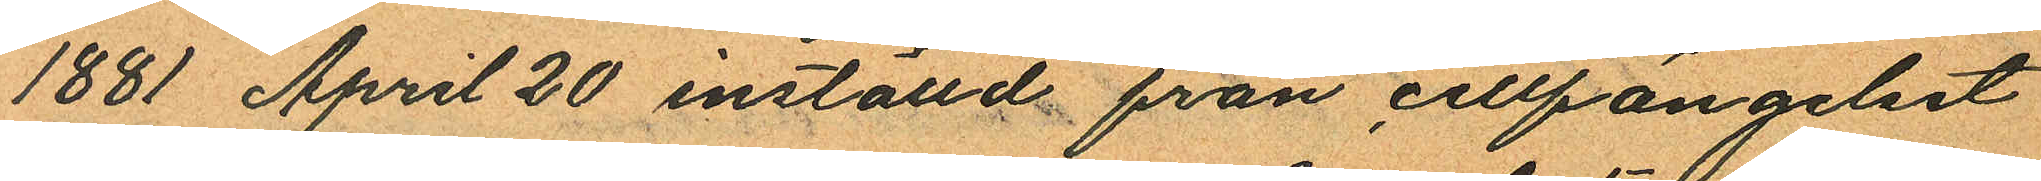1881 April 20 inställd från cellfängelset
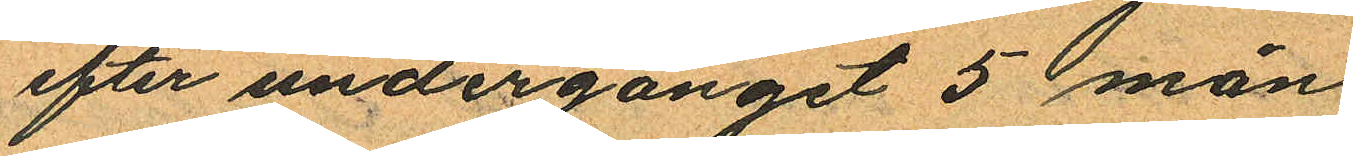efter undergånget 5 mån.
